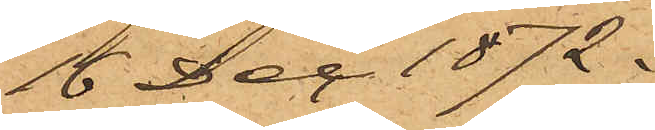16 Dec. 1872.
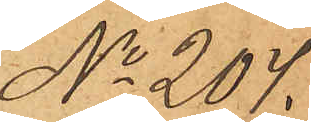No 204.
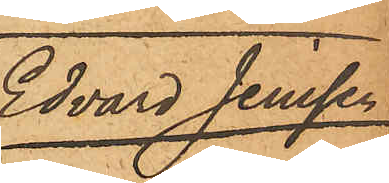Edvard Jenssen
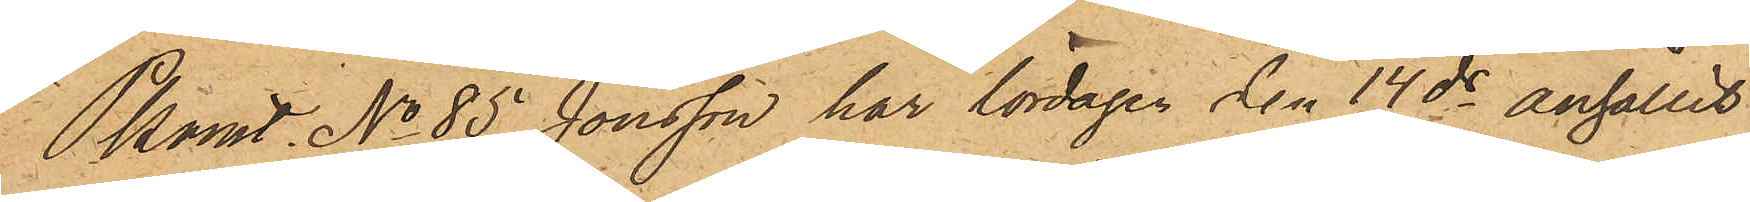Pkonst. No 85 Jönsson har lördagen den 14 ds anhållit
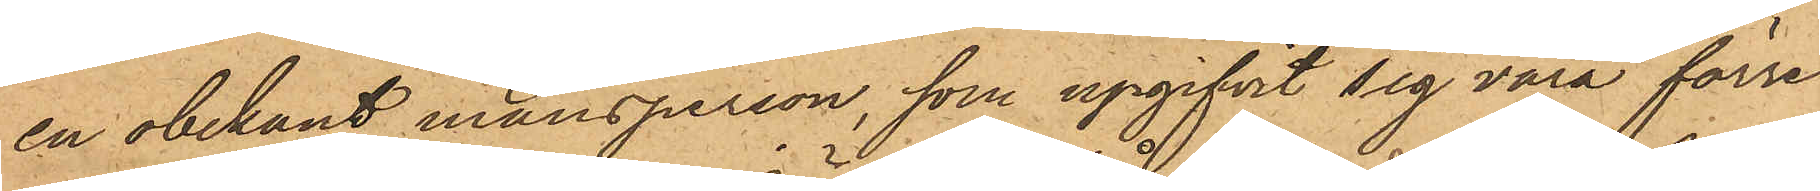en obekant mansperson, som upgifvit sig vara förre
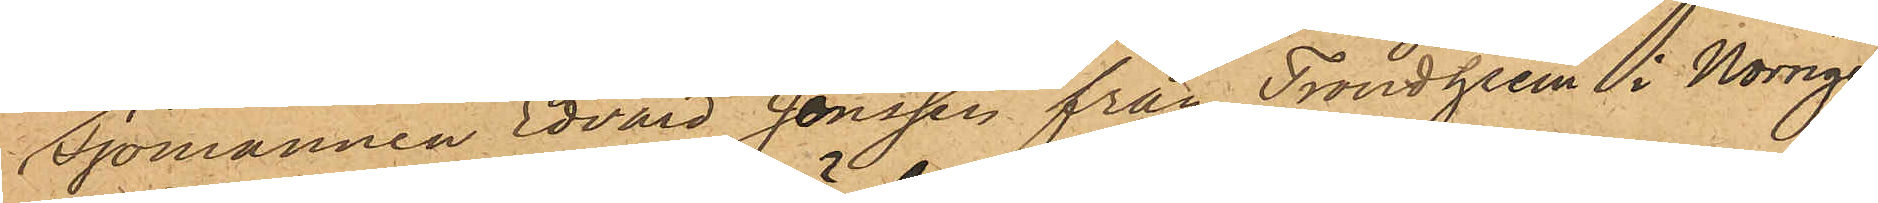Sjömannen Edvard Jönssen från Trondheim i Norrige,
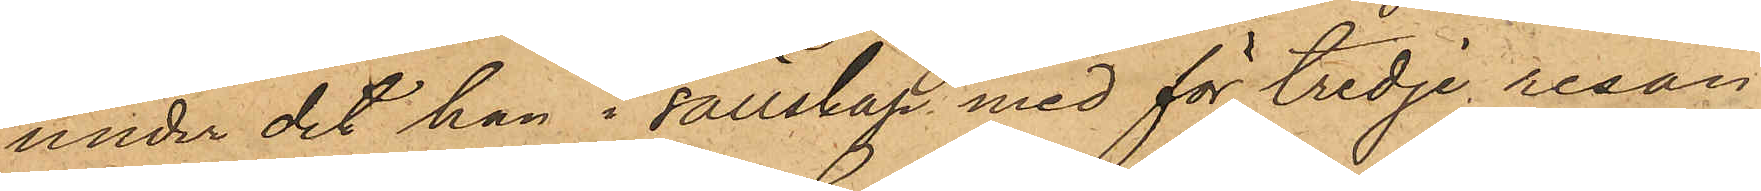under det han i sällskap med för tredje resan
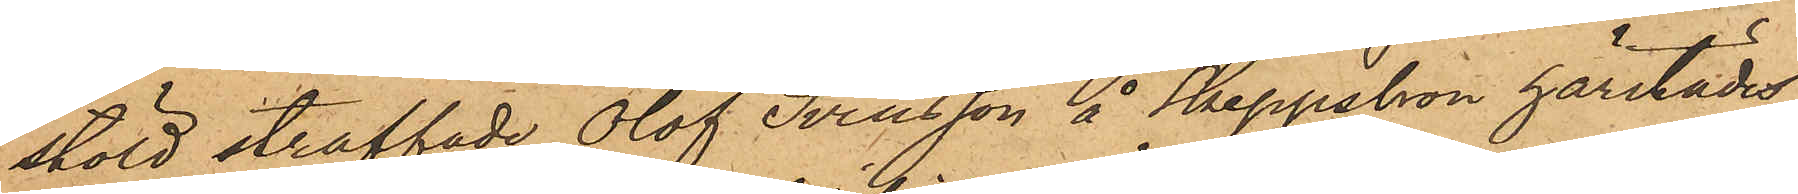stöld straffade Olof Svensson å Skeppsbron härstädes
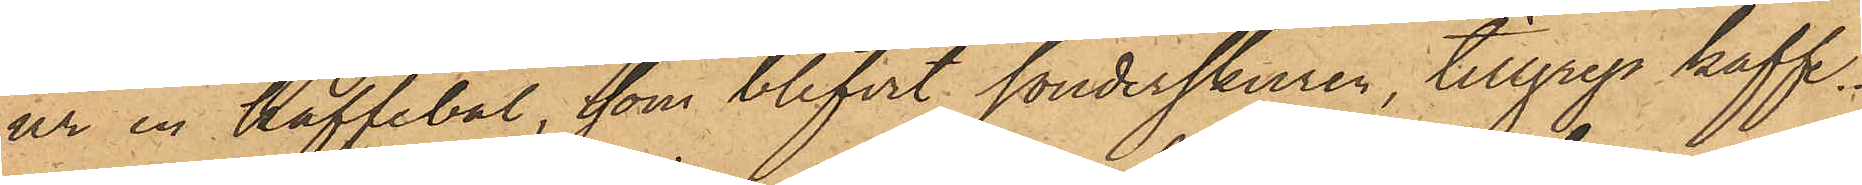ur en kaffebal, som blifvit sönderskuren, tillgrep kaffe.
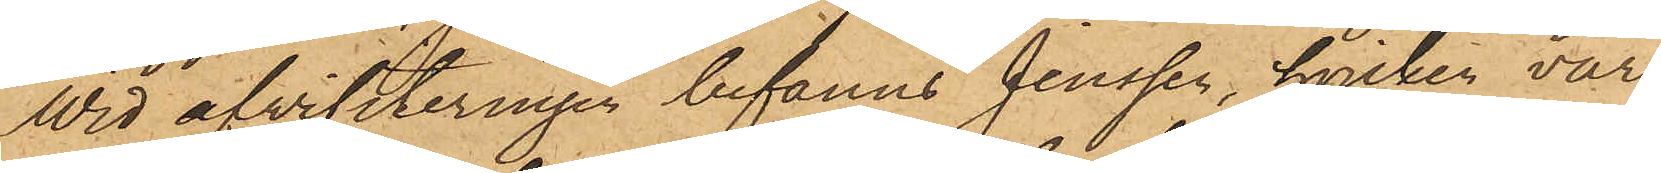Wid afvisiteringen befanns Jenssen, hvilken var
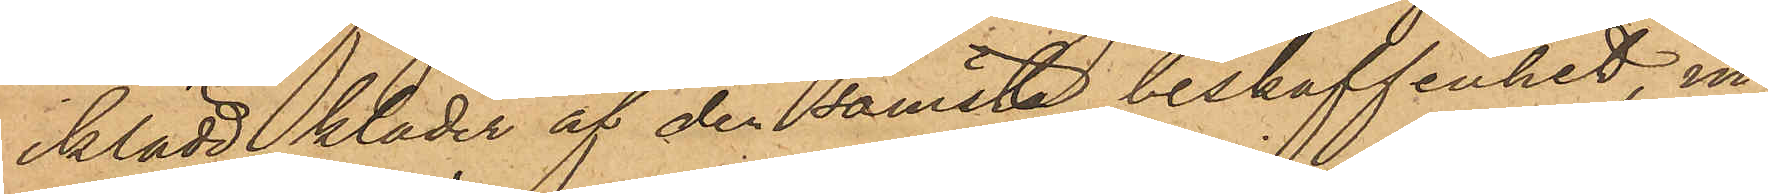iklädd kläder af den sämsta beskaffenhet, in¬
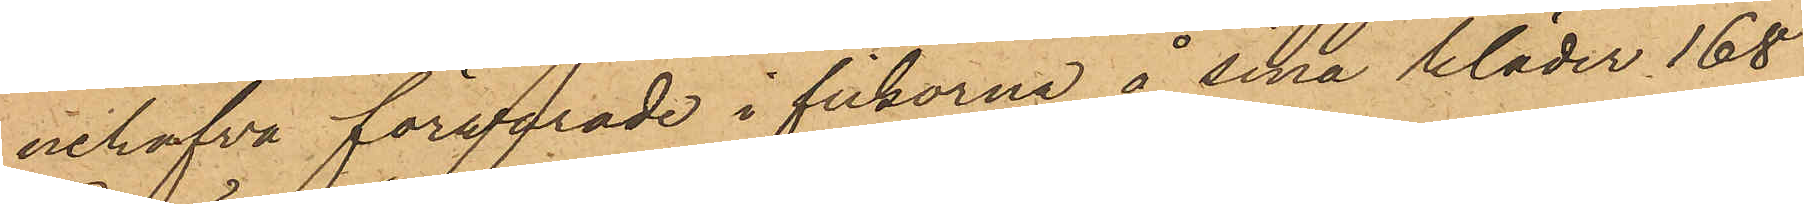nehafva förewarade i fickorna å sina kläder 168
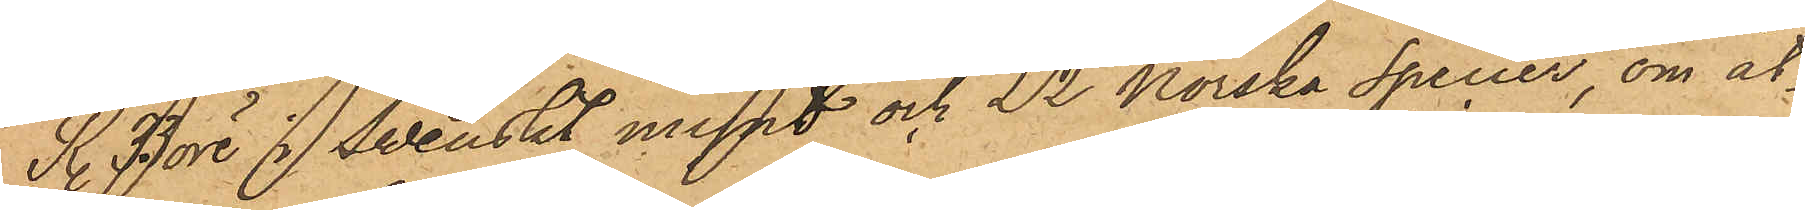R. 33 öre i Swenskt mynt och 22 Norska Specier, om åt¬
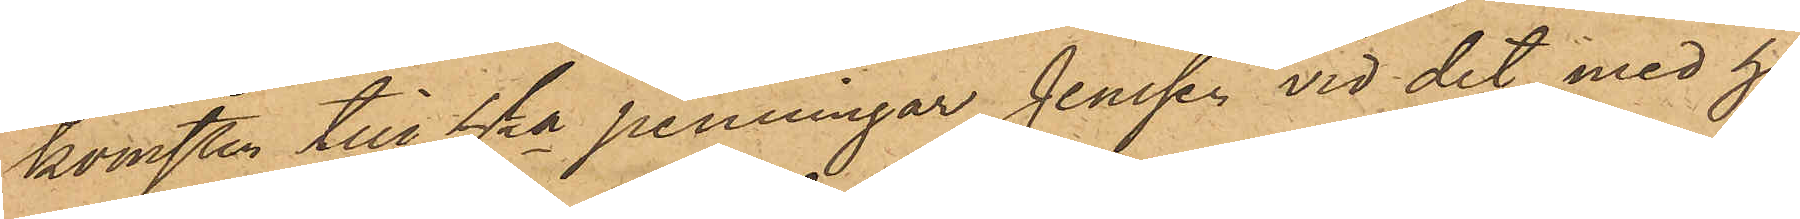komsten till hka penningar Jenssen vid det med ho¬
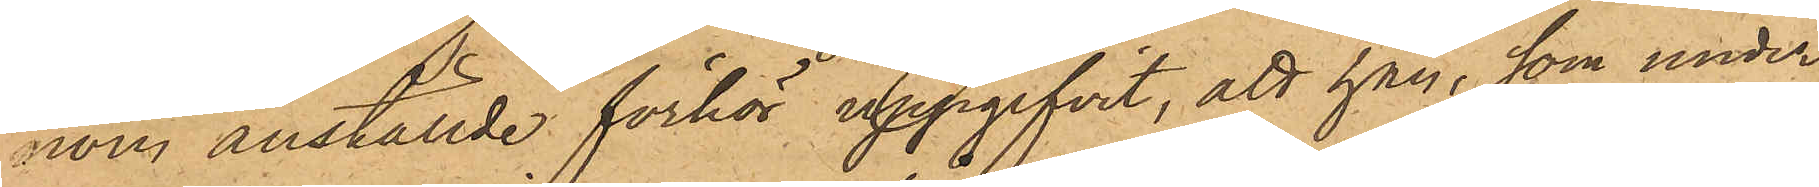nom anställde förhör uppgifvit, att han, som under
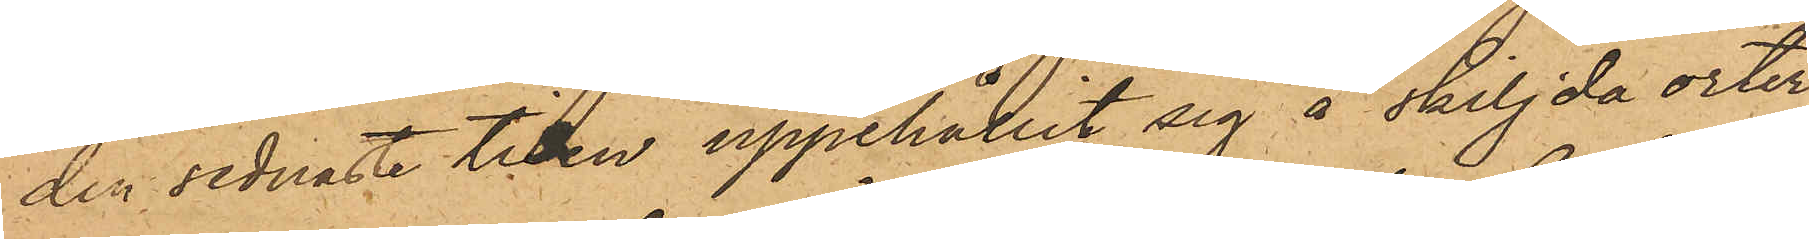den sednaste tiden uppehållit sig å skiljda orter
